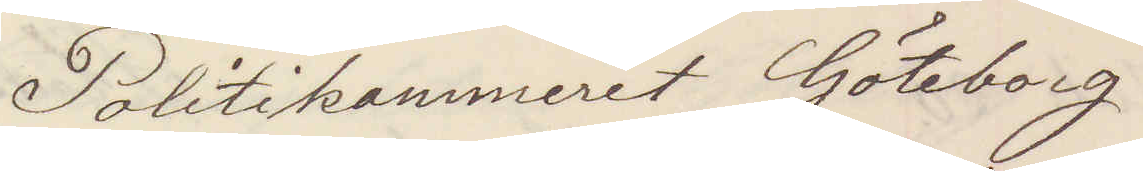Politikammeret Göteborg
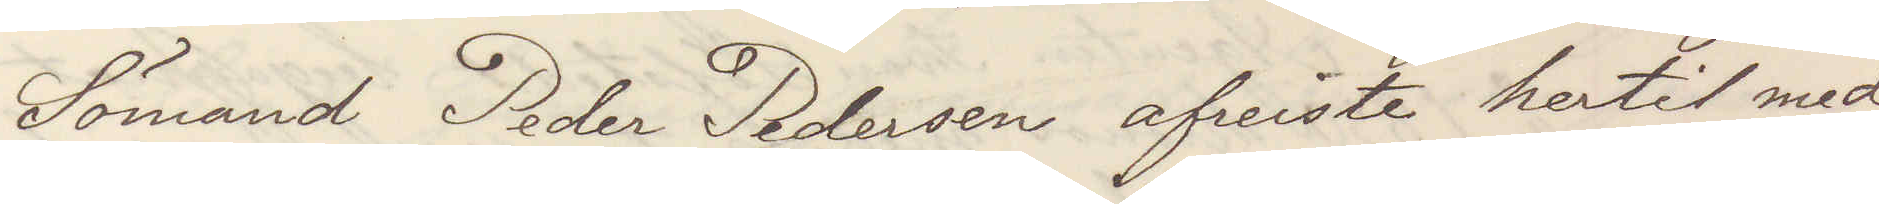Sömand Peder Pedersen afreiste hertil med
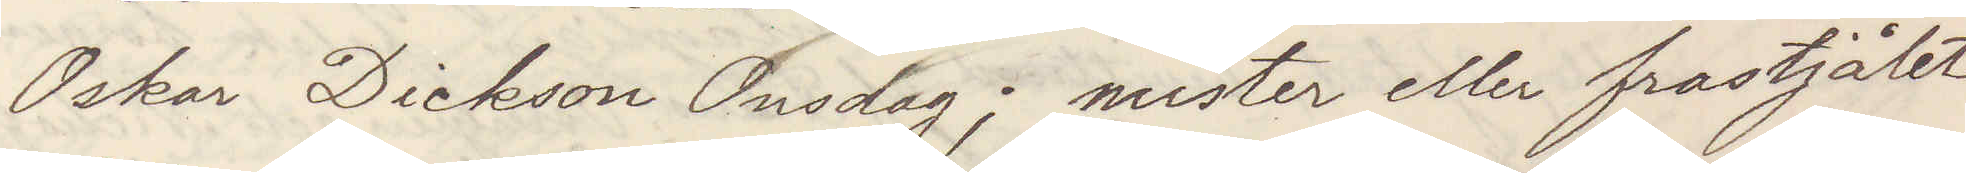Oskar Dickson Onsdag; mister eller frastjälet
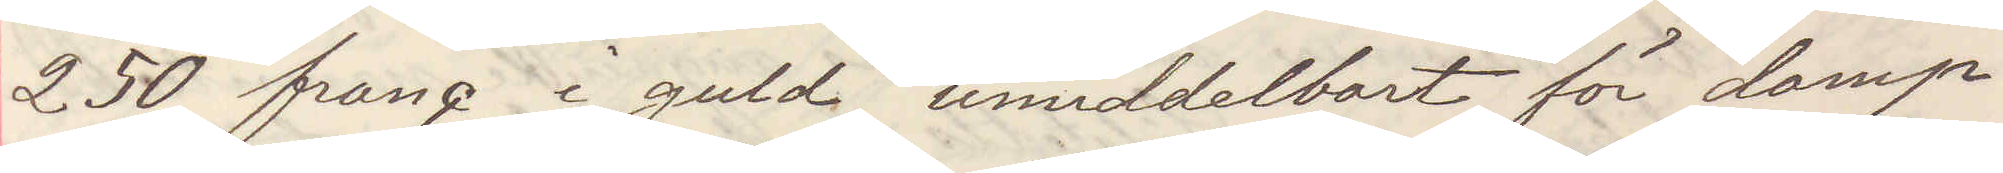250 franc i guld umiddelbart för damp¬
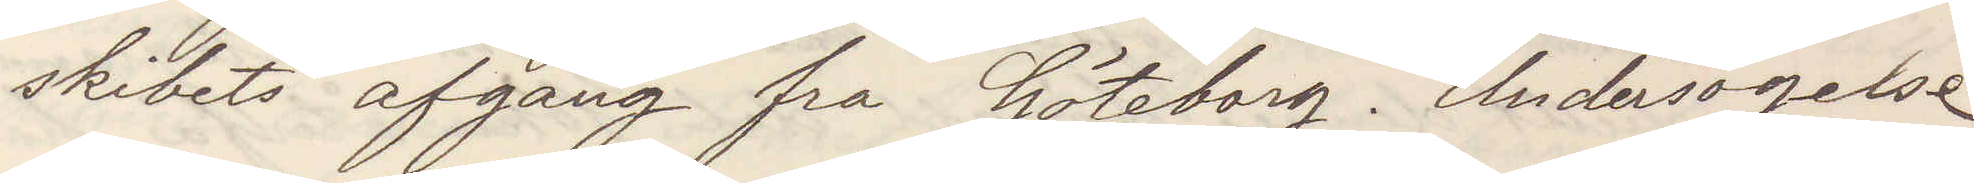skibets afgang fra Göteborg. Undersogelse
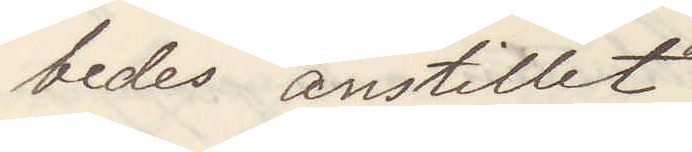bedes antillet
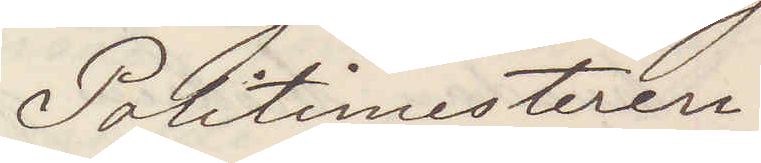Politimesteren.
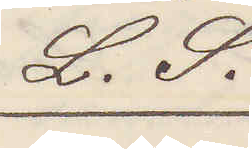L. S.
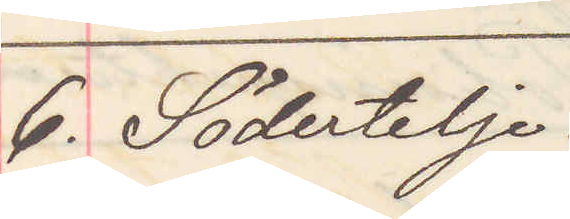6. Södertelje.
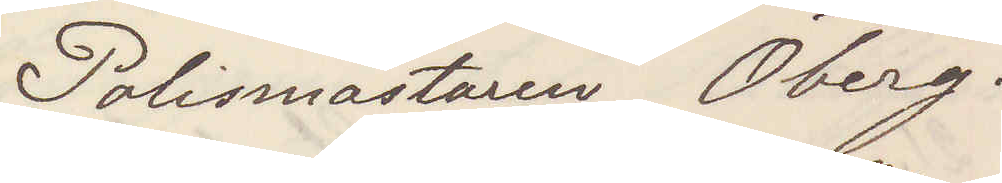Polismästaren Öberg.
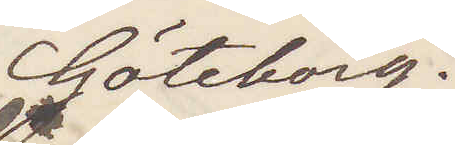Göteborg.
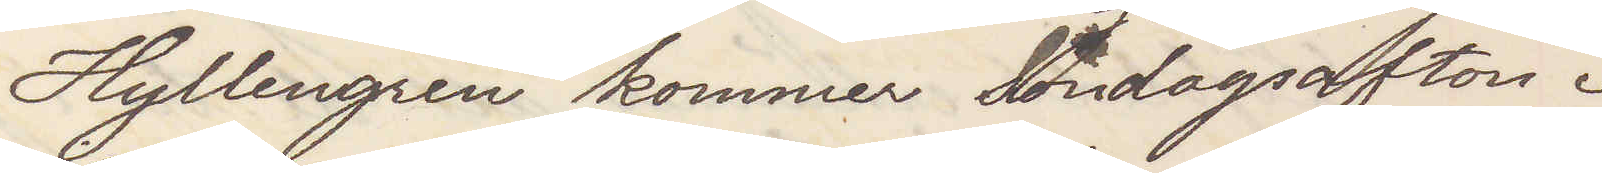Hyllengren kommer Söndagsafton.
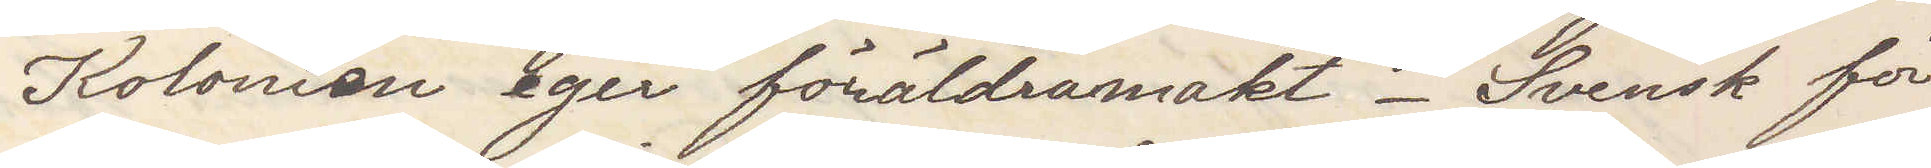Kolonien eger föräldramakt. Svensk för¬
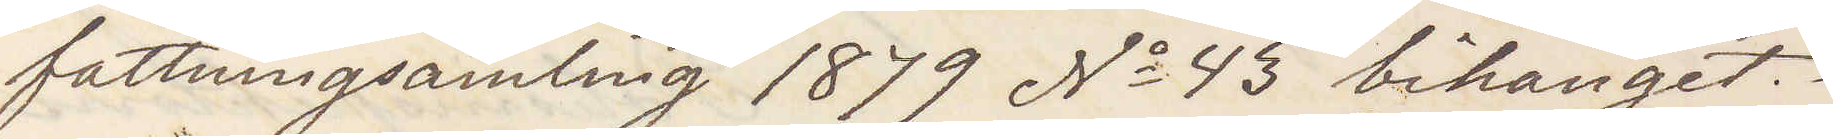fattningssamling 1879 No 43 bihanget.
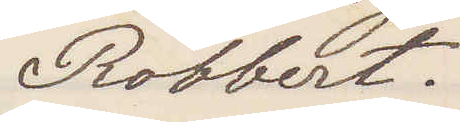Robbert.
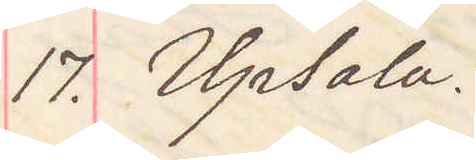17. Upsala.
